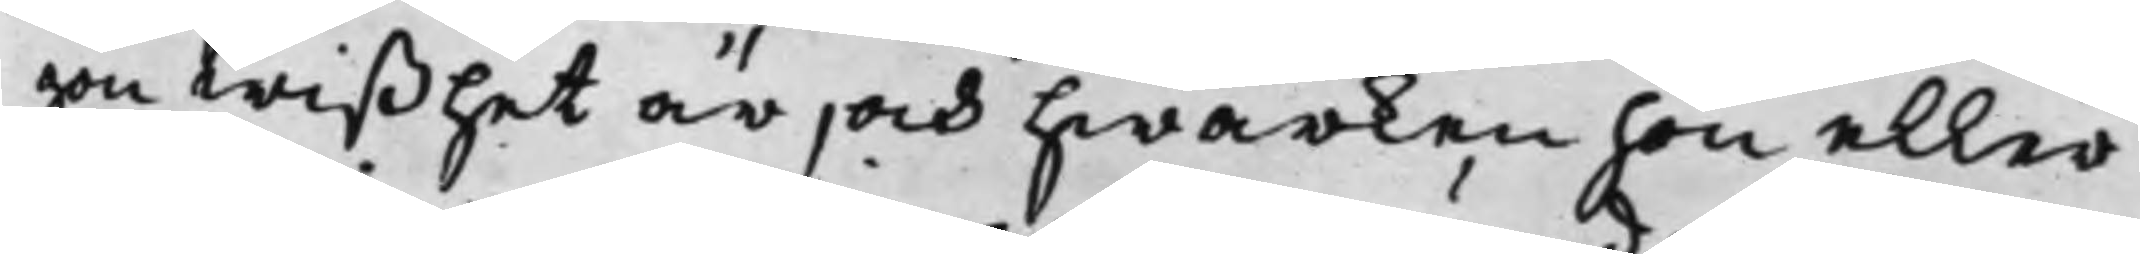gon wißhet är, och hwarken hon eller
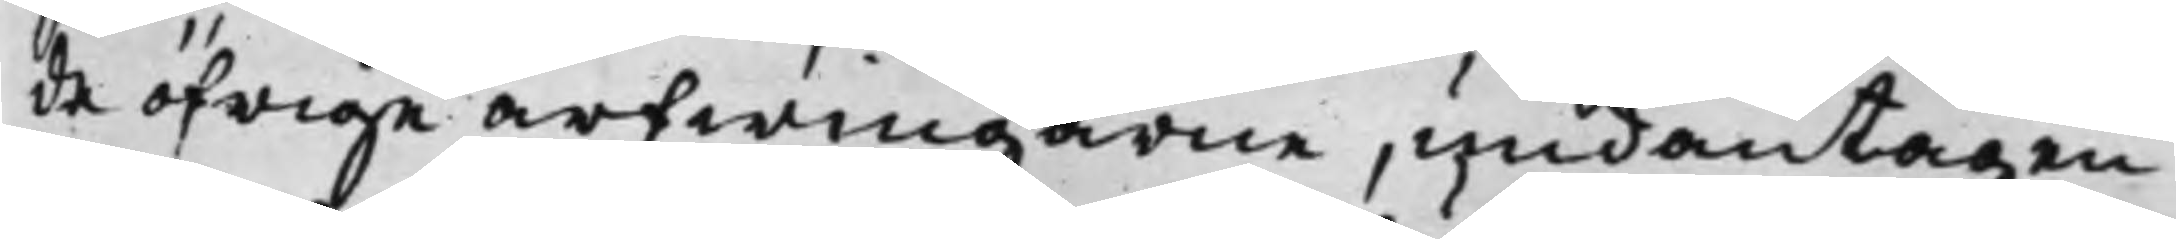de öfrige arfwingarne, undantagen
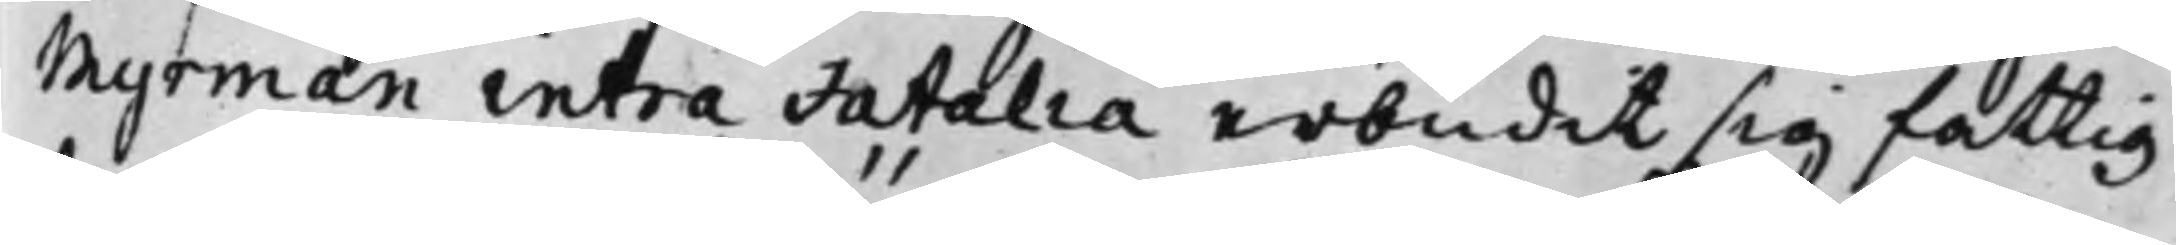Myrman intra Fatalia erbudit sig fattig¬
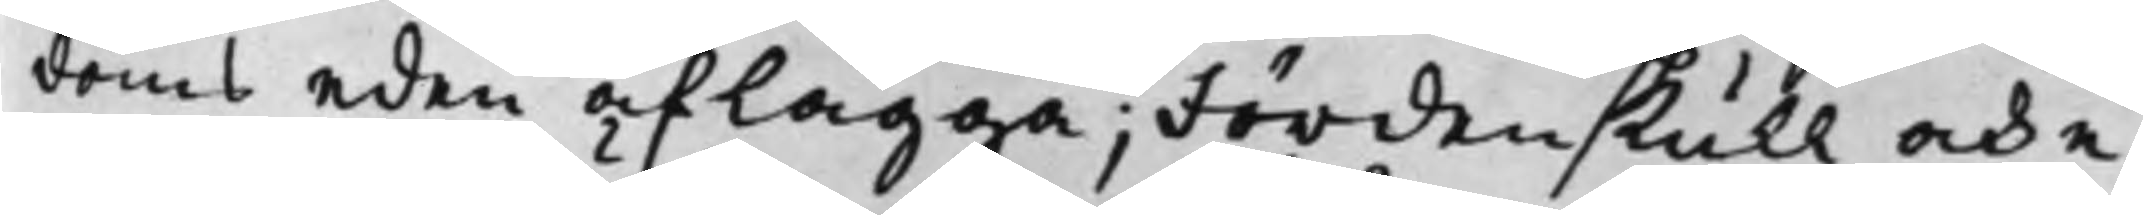doms eden aflägga; Fördenskull och e¬
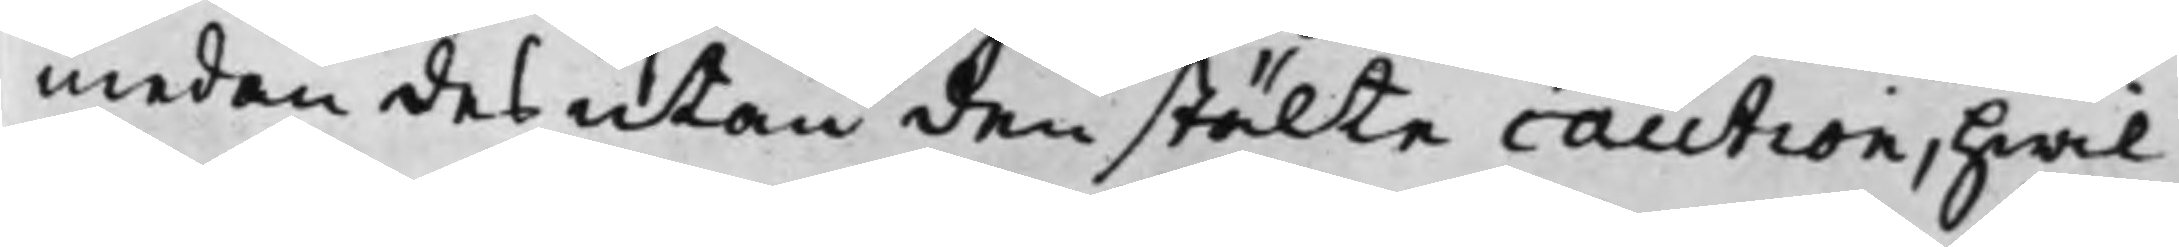medan des utan den stälte caution, hwil¬
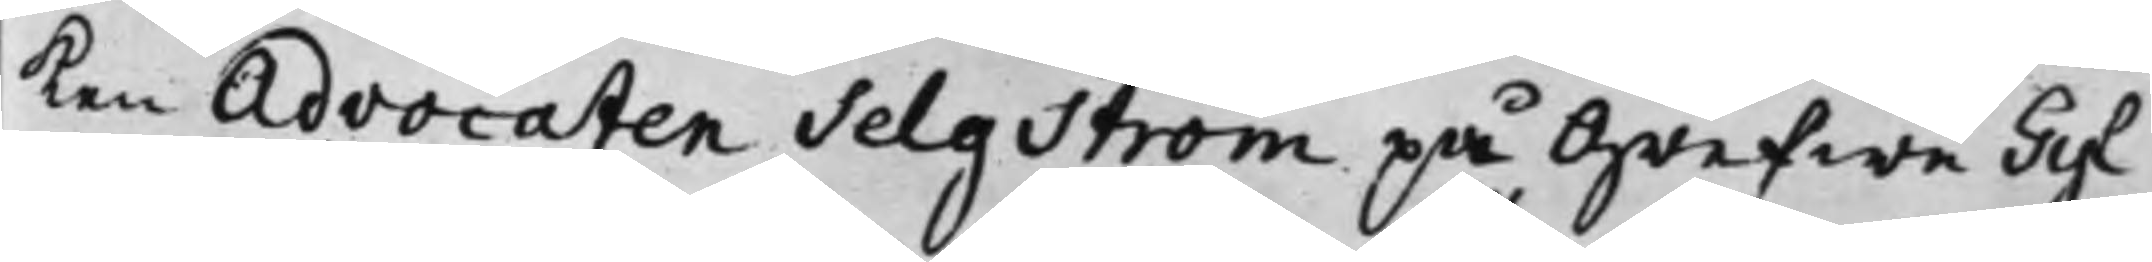ken Advocaten Selgström på Grefwe Gyl¬
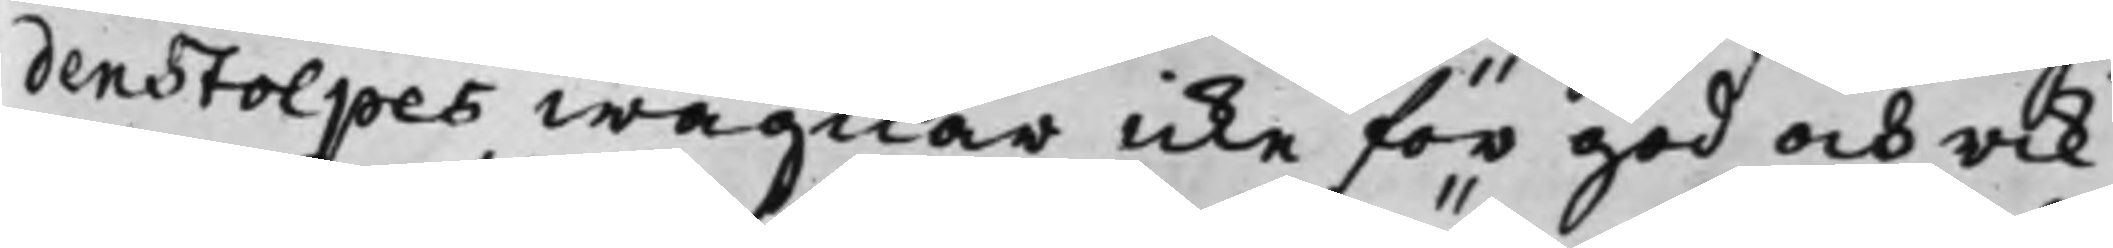denstolpes wägnar icke för god och rik¬
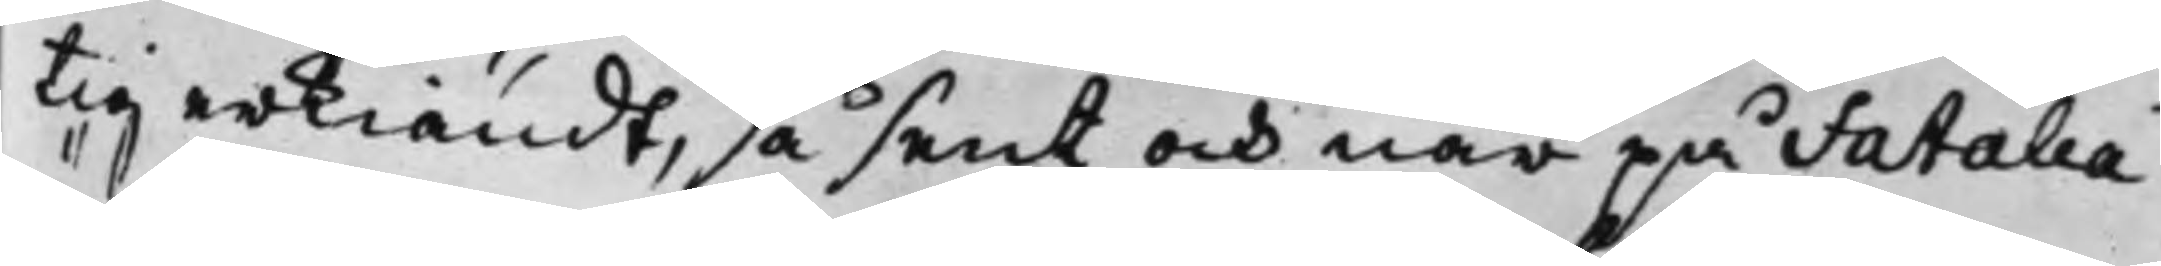tig erkiändt, så sent och när på Fatalia
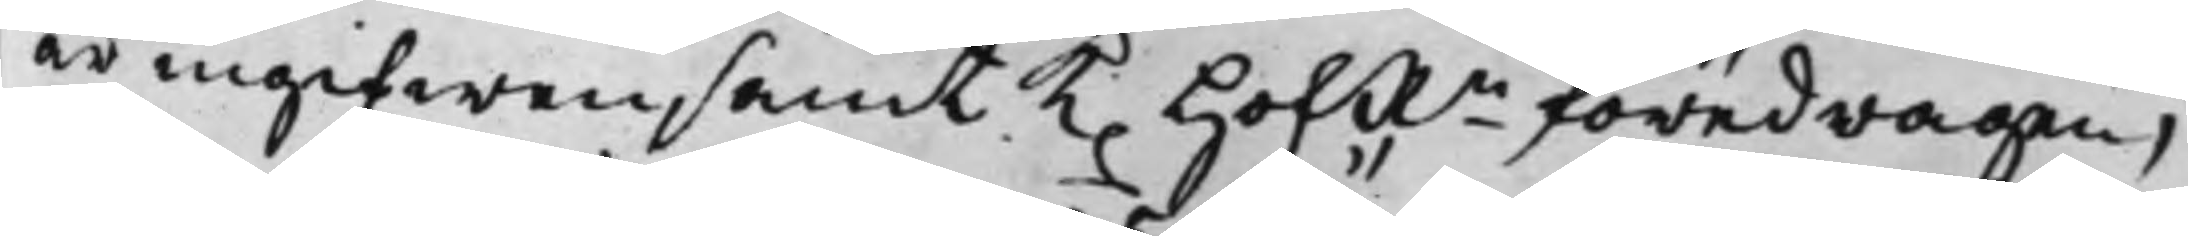är ingifwen, samt K. HofRn föredragen,
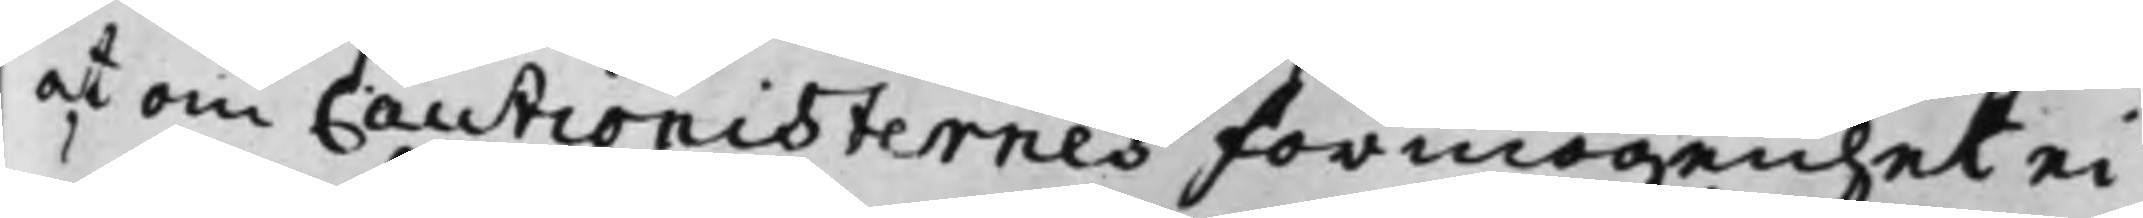at om Cautionisternes förmögenhet ei
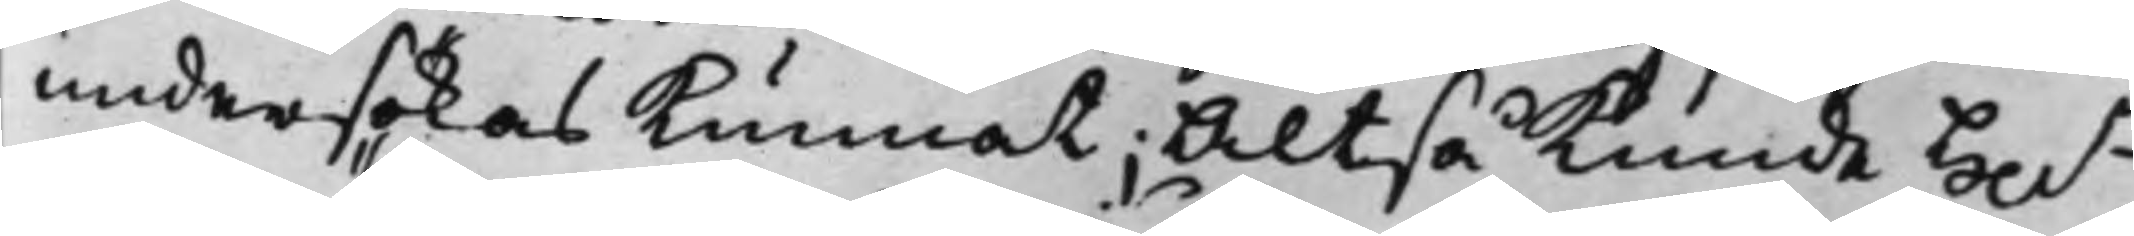undersökas kunnat; Altså kunde Hh.r
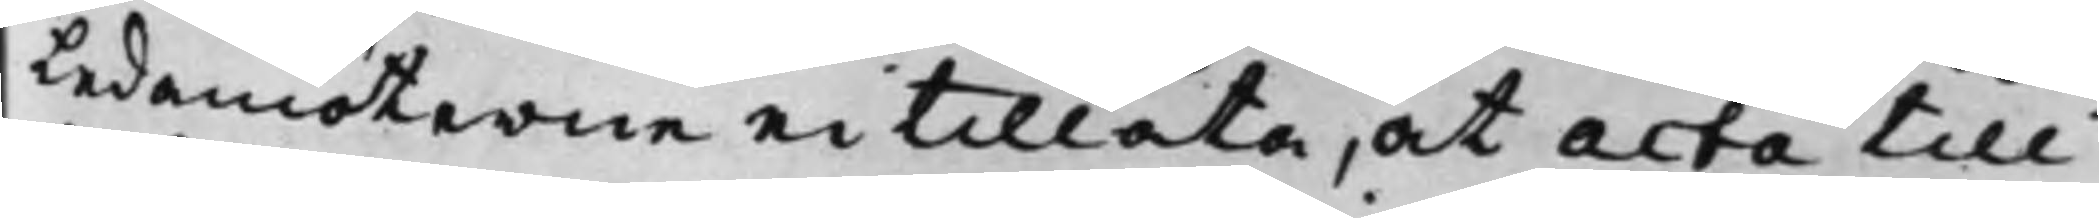Ledamöterne ei tillåta, at acta till
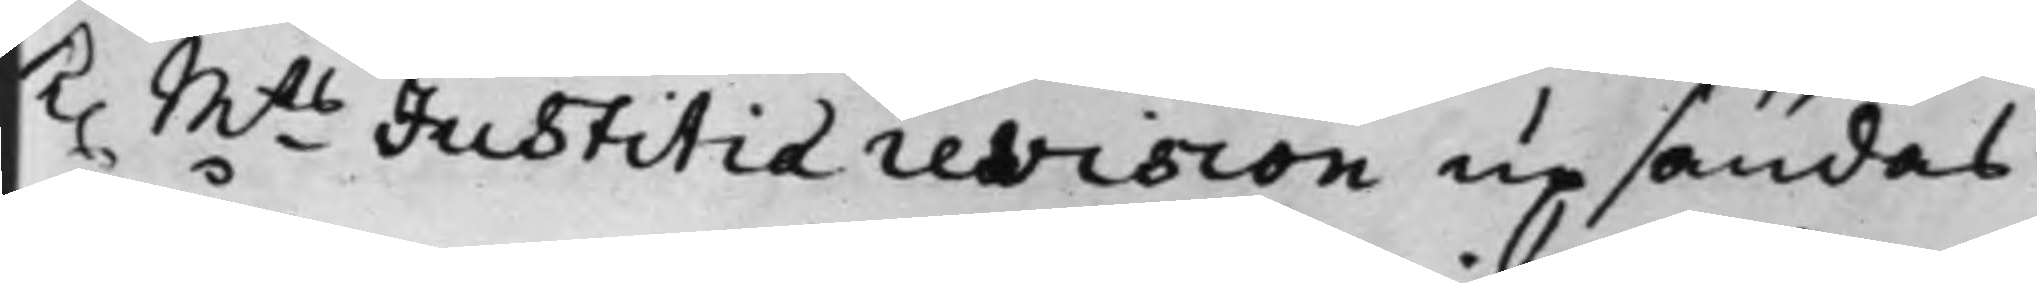K. Mts Justitiærevision upsändas
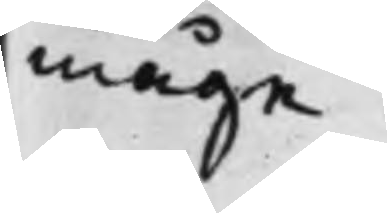måge.
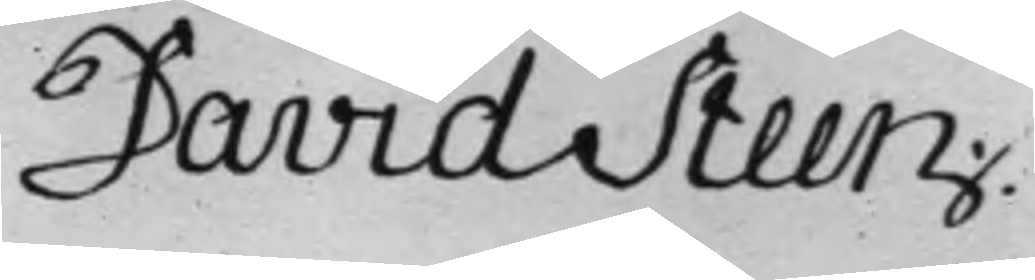David Steen.
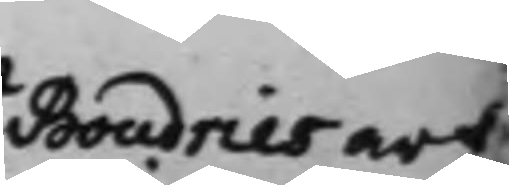Boudries arf¬
